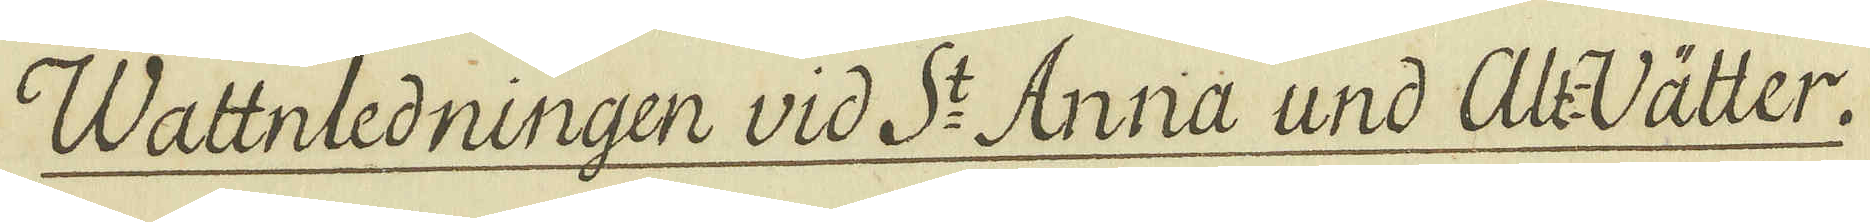Wattnledningen vid S:t Anna und Alt-Vätter.
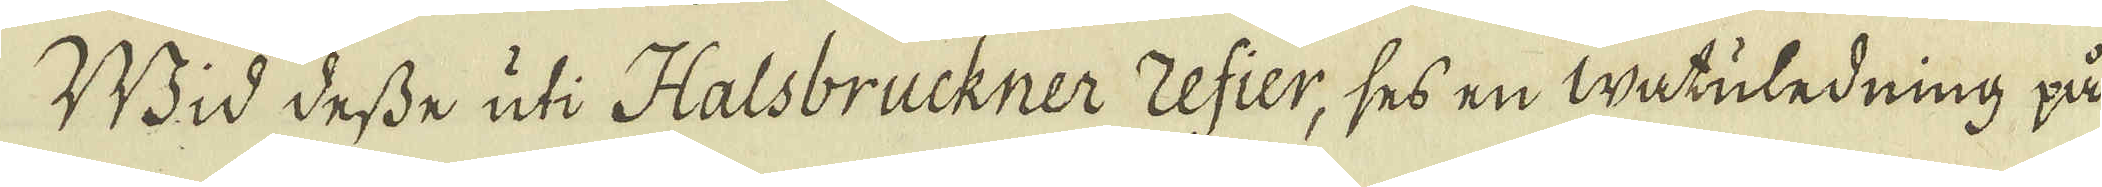Wid desse uti Halsbruckner refier, ses en Watuledning på
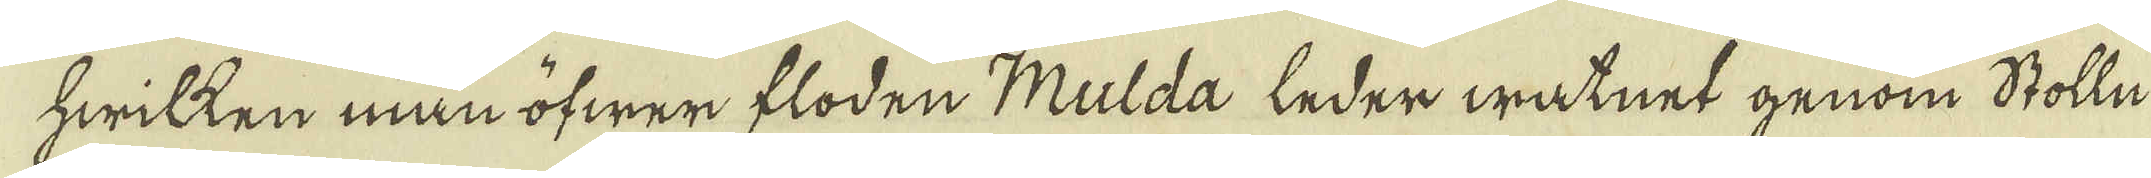hwilken man öfwer floden Mulda leder watnet genom Stolln
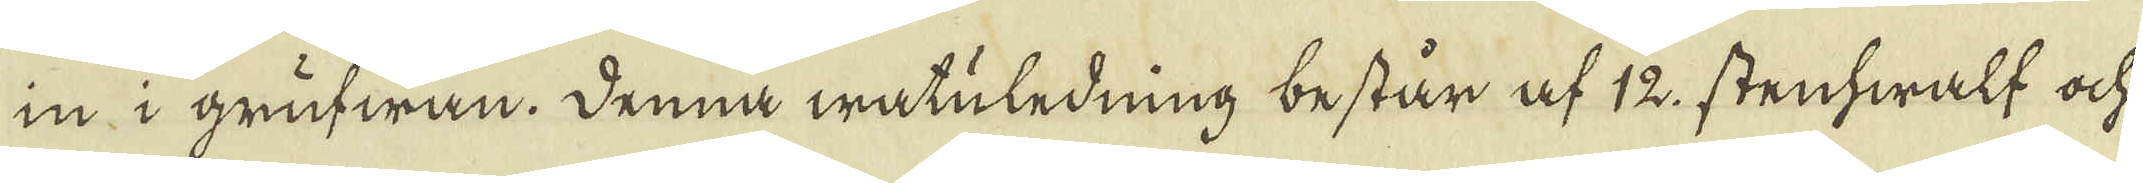in i grufwan. Denna watuledning består af 12 stenhwalf och
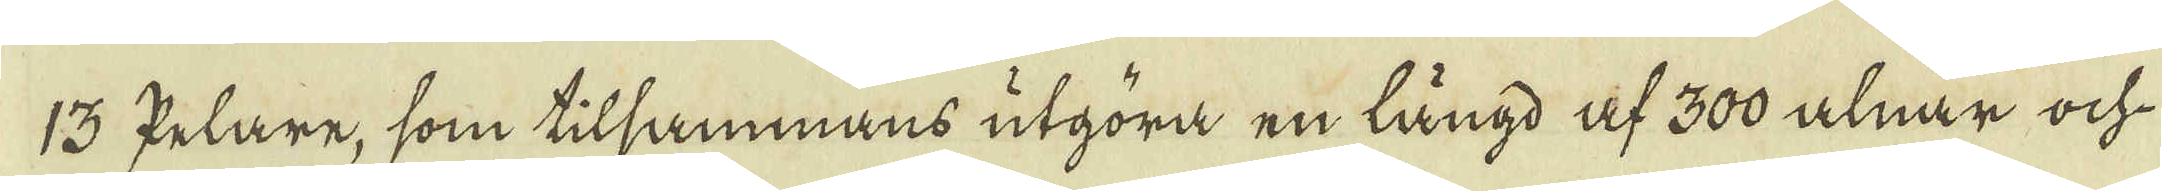13 Pelare, som tilsammans utgöra en längd af 300 alnar och
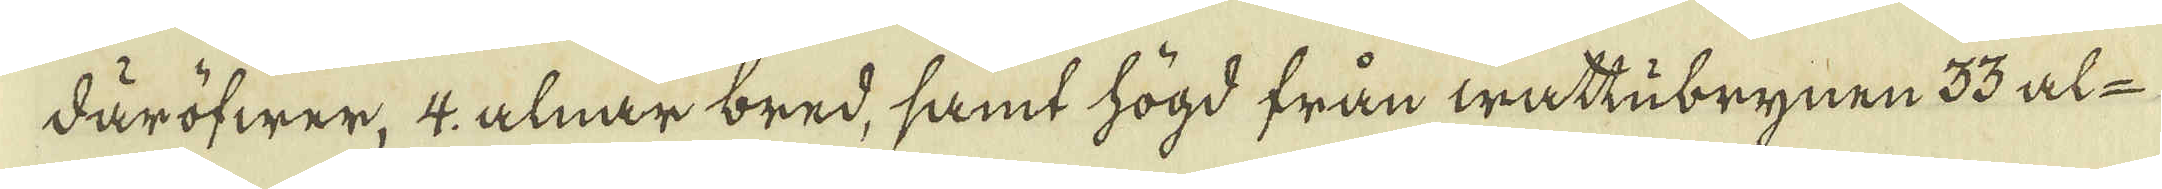däröfwer, 4 alnar bred, samt högd från wattubrynen 33 al-
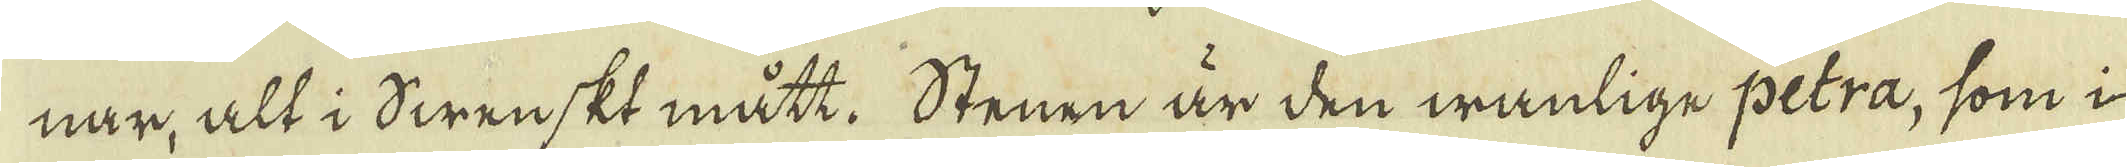nar, alt i Swenskt mått. Stenen är den wanlige petra, som i
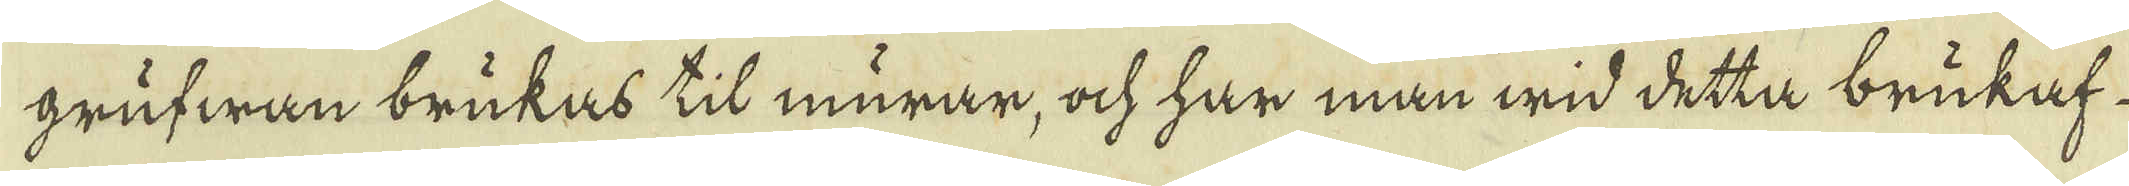grufwan brukas til murar, ock har man wid detta brukaf
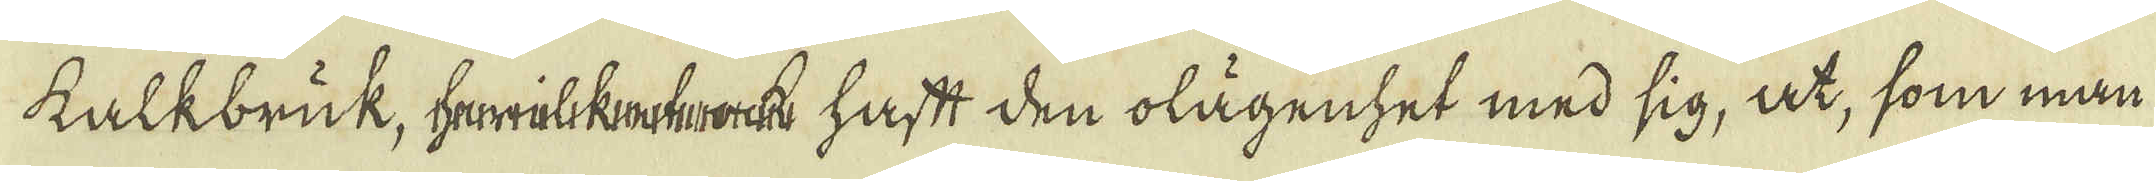kalkbruk, hrwilkekrock haftt den olägenhet med sig, at, som man
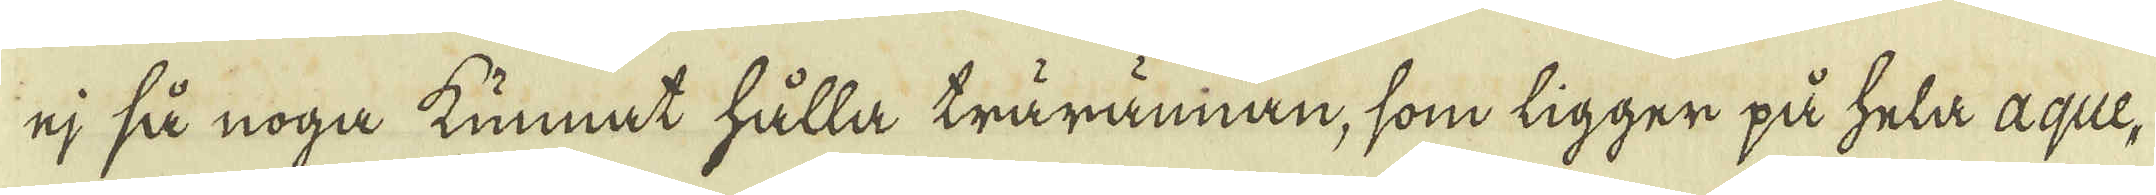ej så noga kunnat hålla trärännan, som ligger på hela aque-
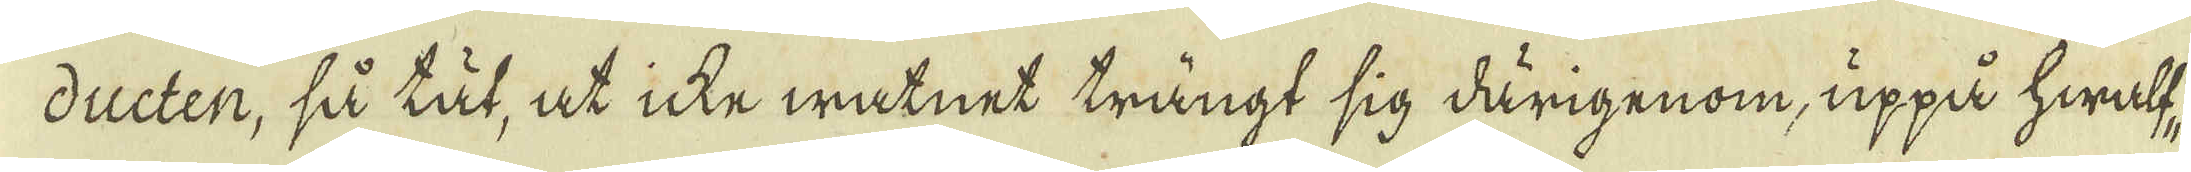ducten, så tät, at icke watnet trängt sig därigenom, uppå hwalf-
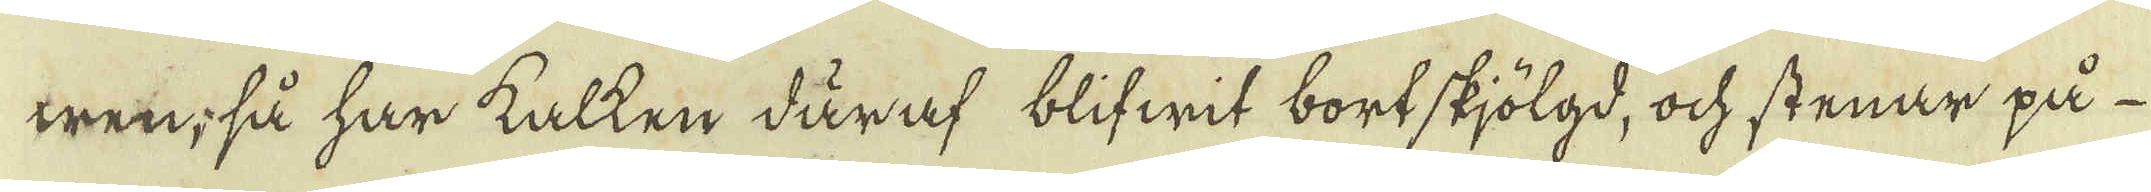wen, så har kalken däraf blifwit bortskjölgd, ock stenar på
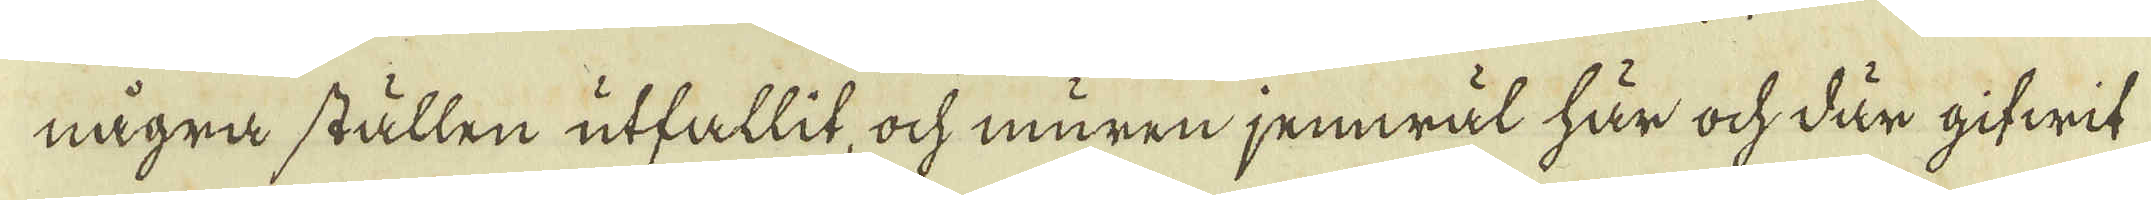några ställen utfallit, ock muren jemwäl här ock där gifwit
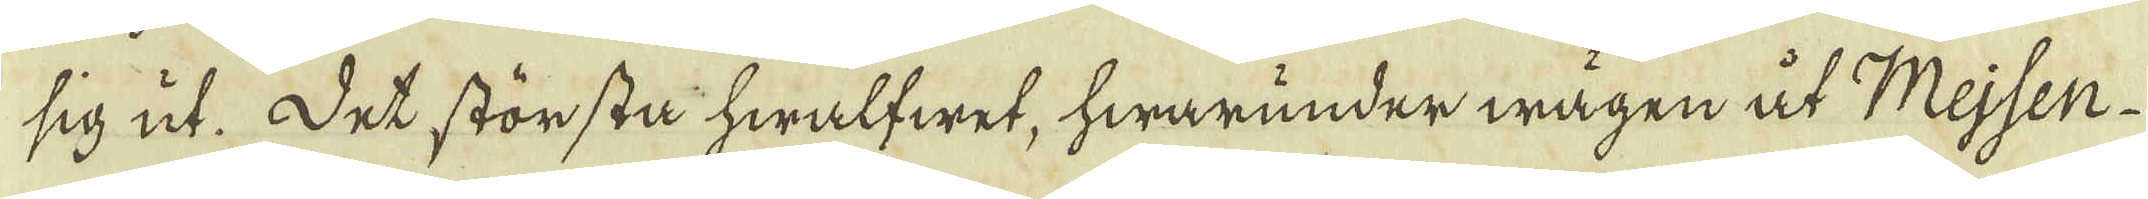sig ut. Det största hwalfwet, hwarunder wägen åt Mejsen
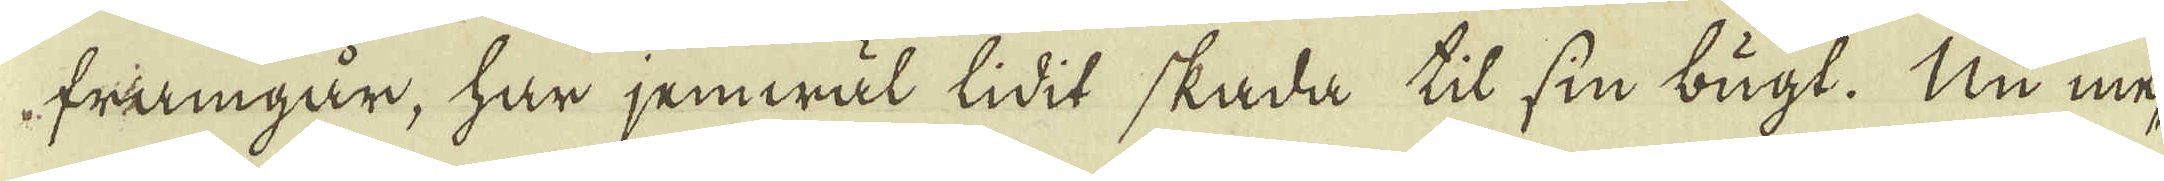framgår, har jemwäl lidit skada til sin bugt. Nu me-
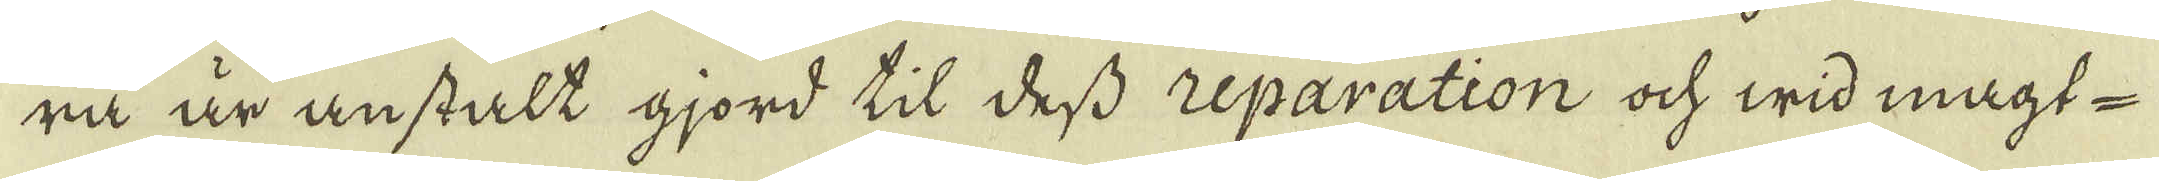ra är anstält gjord til dess reparation och wid magt-
